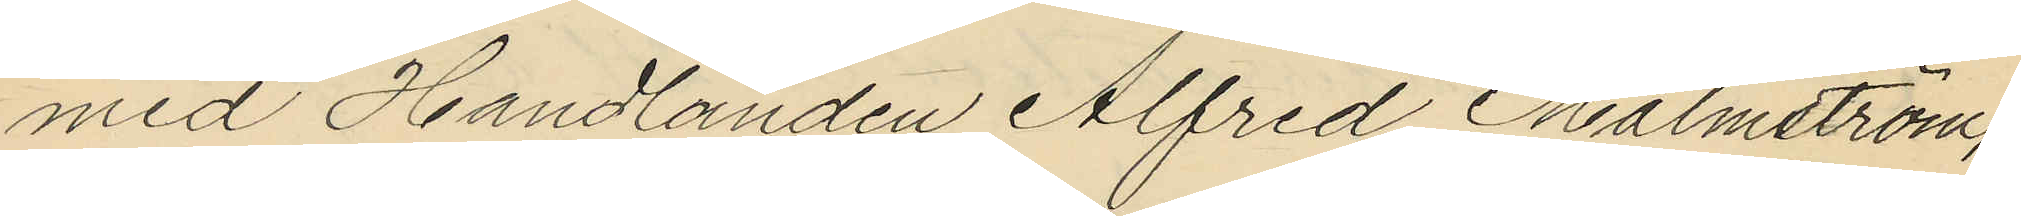med Handlanden Alfred Malmström,
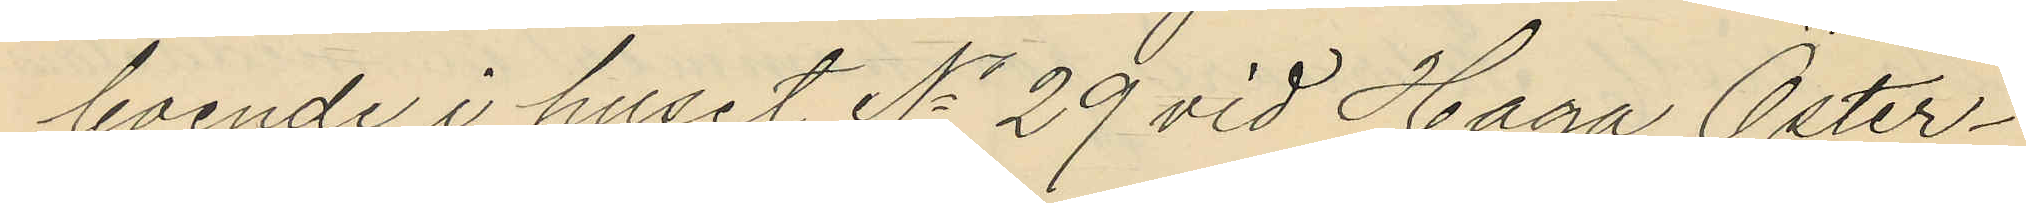boende i huset No 29 vid Haga Öster¬
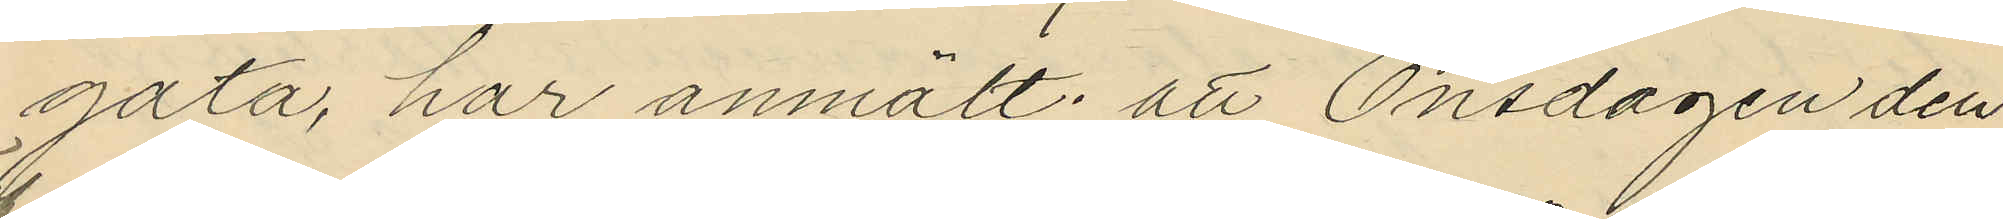gata, har anmält: att Onsdagen den
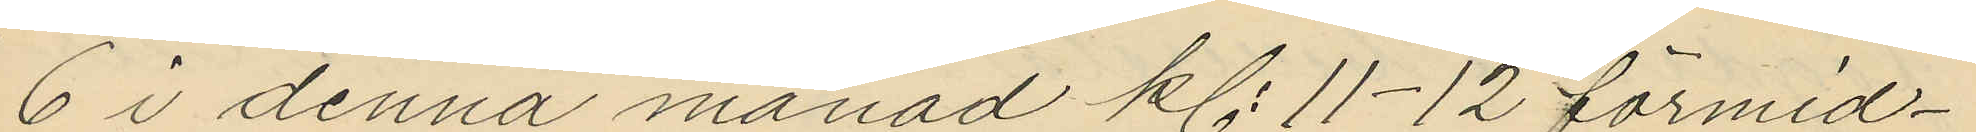6 i denna månad kl. 11-12 förmid¬
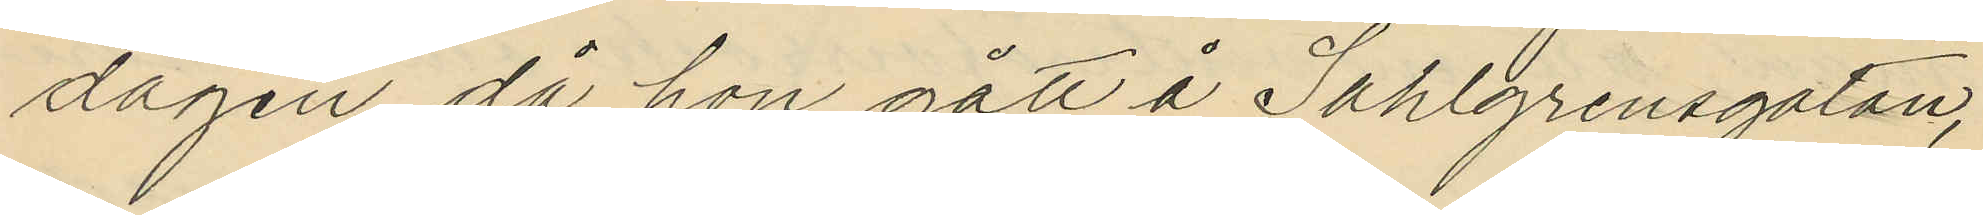dagen då hon gått å Sahlgrensgatan,
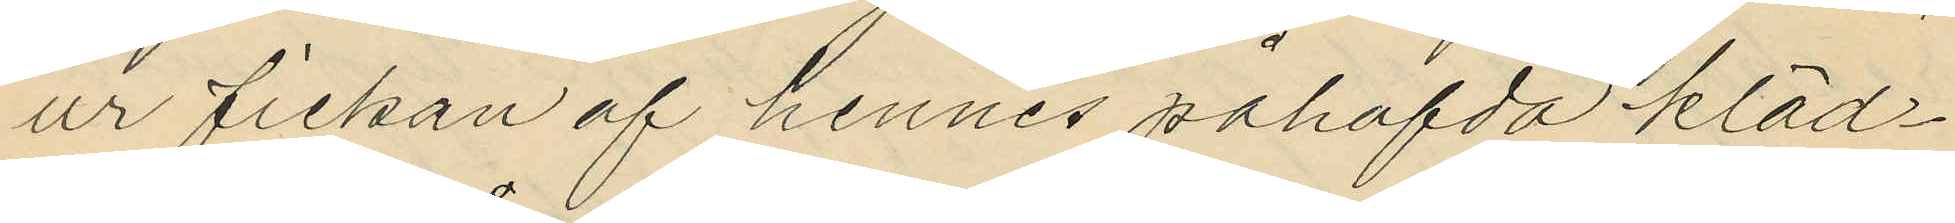ur fickan af hennes påhafvda kläd¬
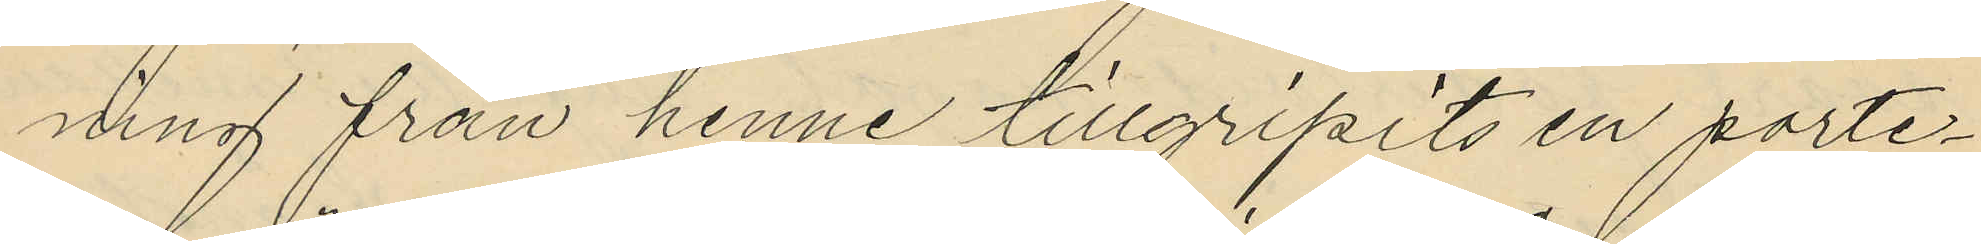ning från henne tillgripits en porte¬
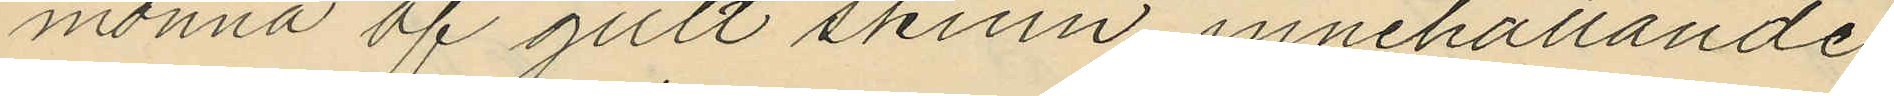monnä af gult skinn innehållande
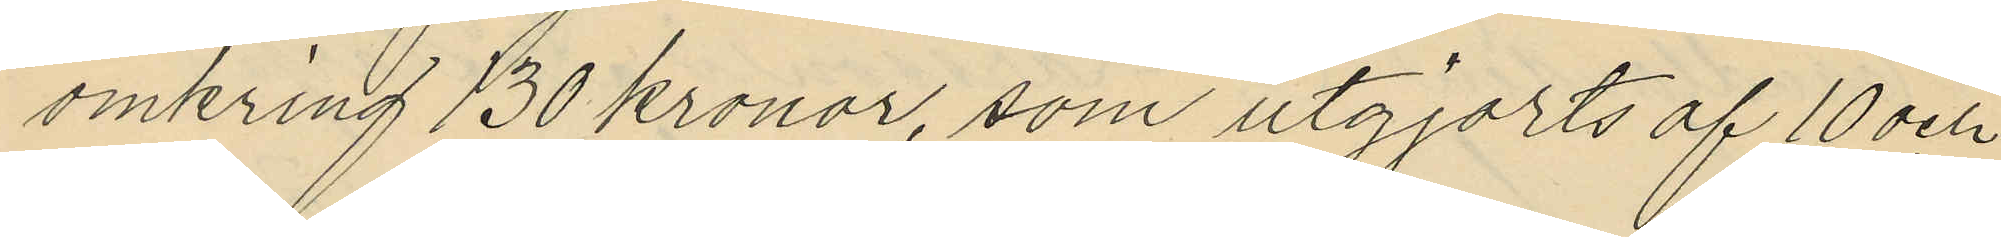omkring 130 kronor, som utgjorts af 10 och
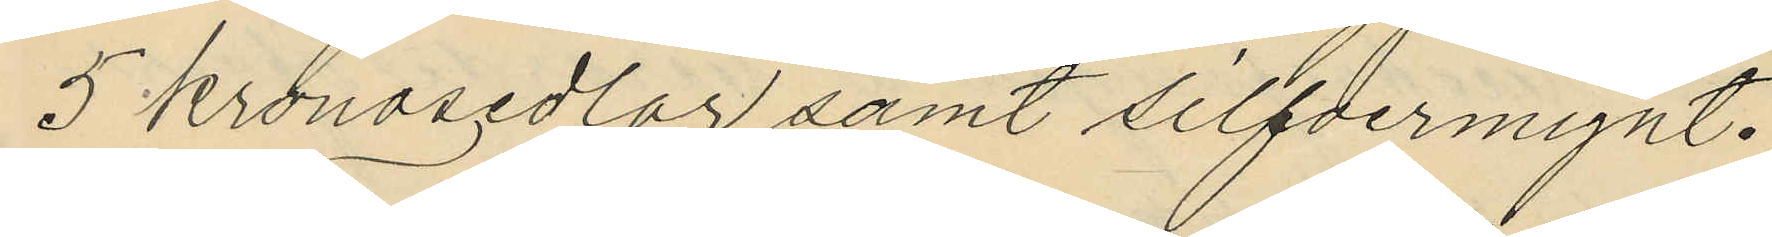5 kronosedlar samt silfvermynt.
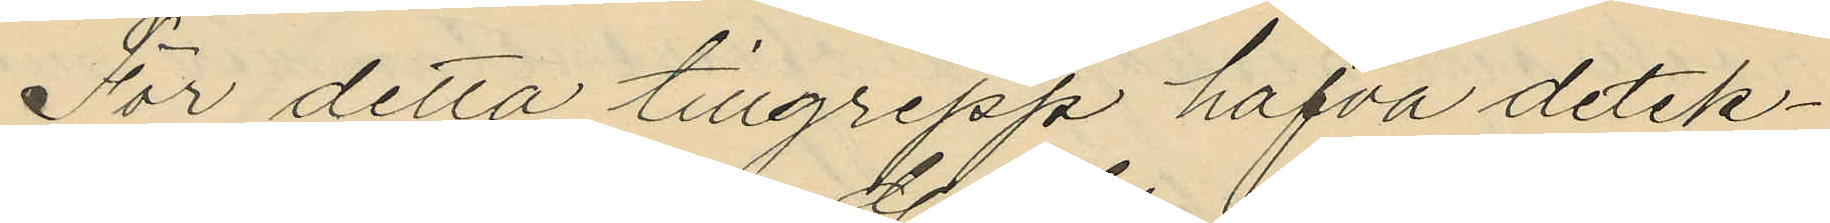För detta tillgrepp hafva detek¬
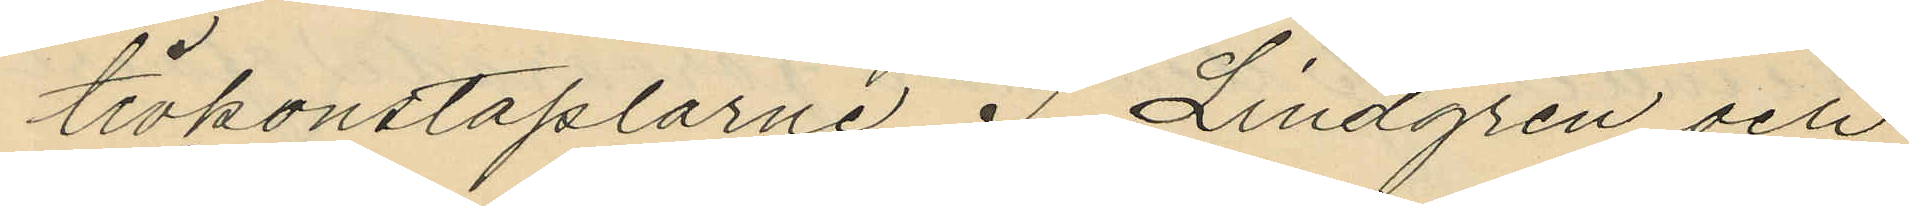tivkonstaplarne G. Lindgren och
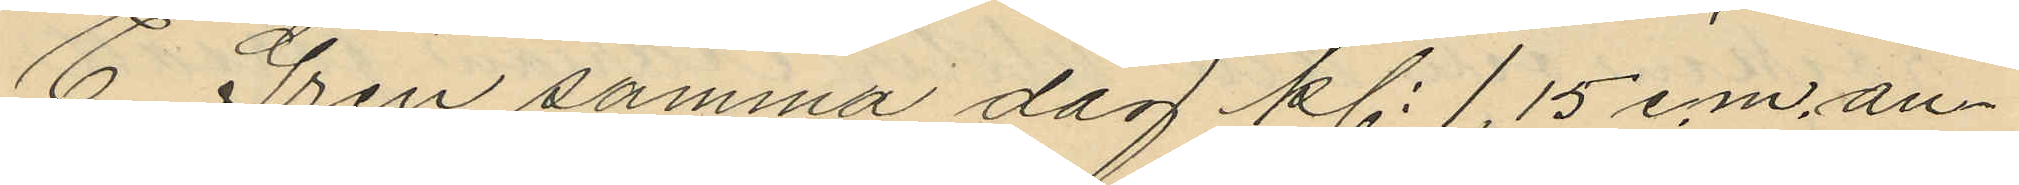E. Gren samma dag kl. 1,15 e.m. an¬
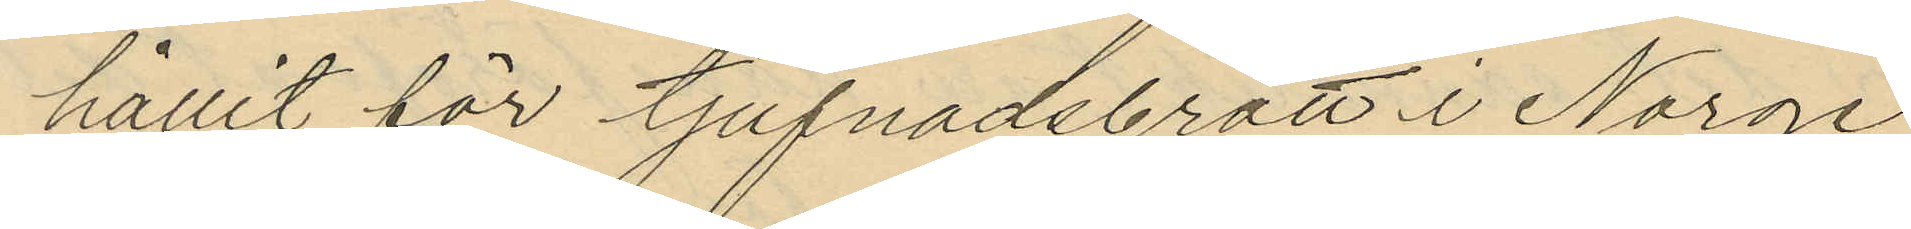hållit för tjufnadsbrott i Norge
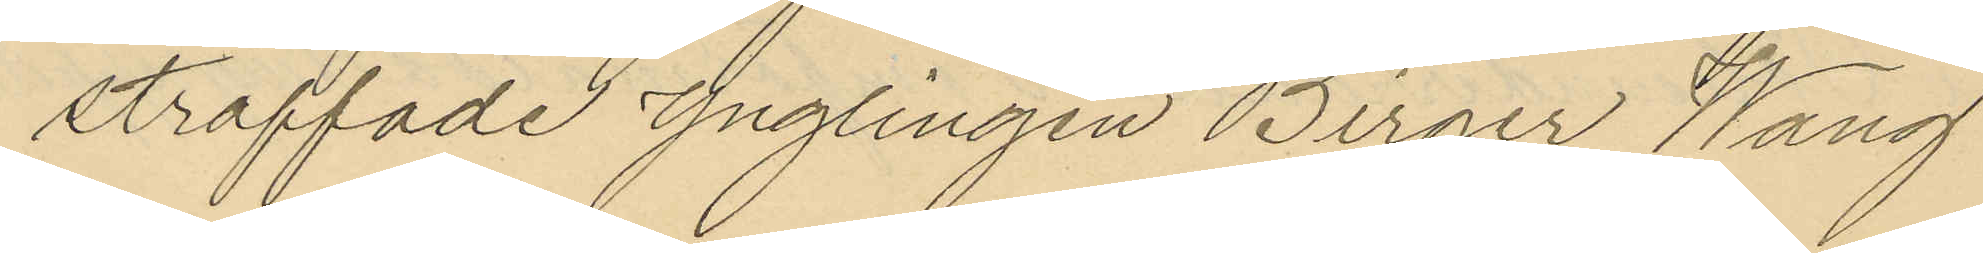straffade ynglingen Birger Wang
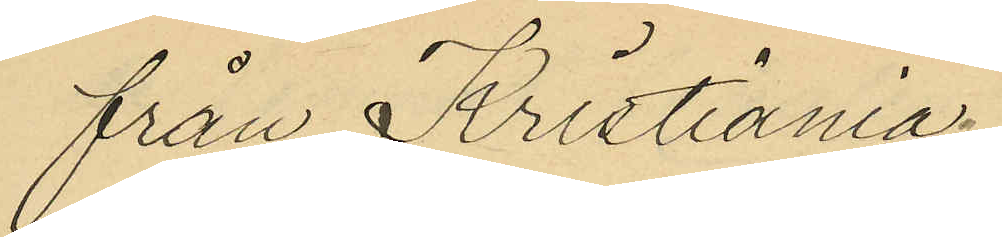från Kristiania.
